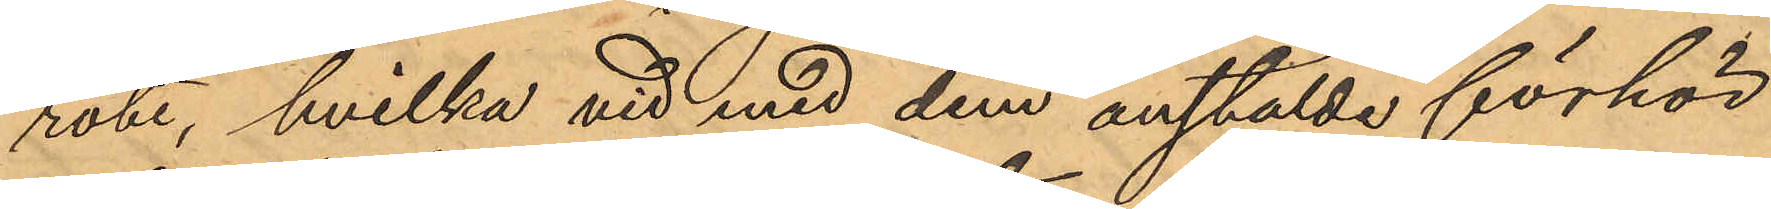rote, hvilka vid med dem anstälde förhör
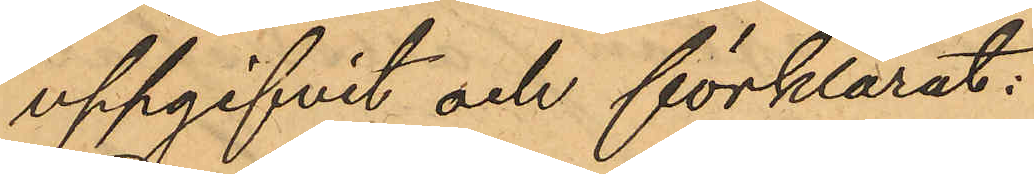uppgifvit och förklarat:
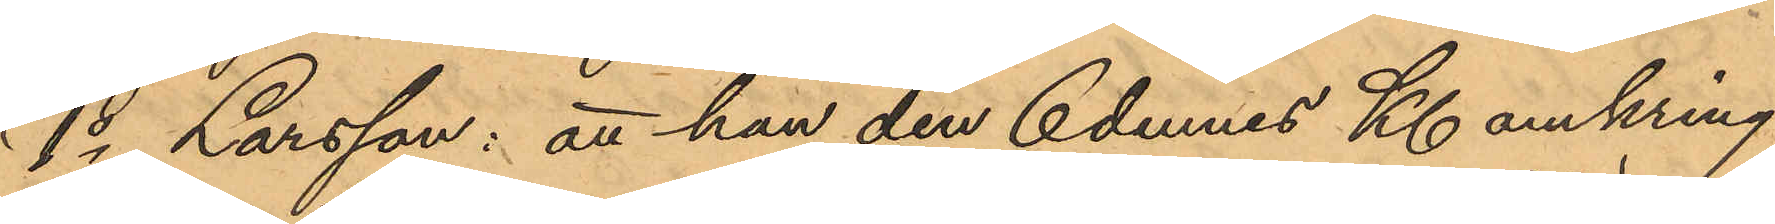1o Larsson: att han den 6 dennes Kl. omkring
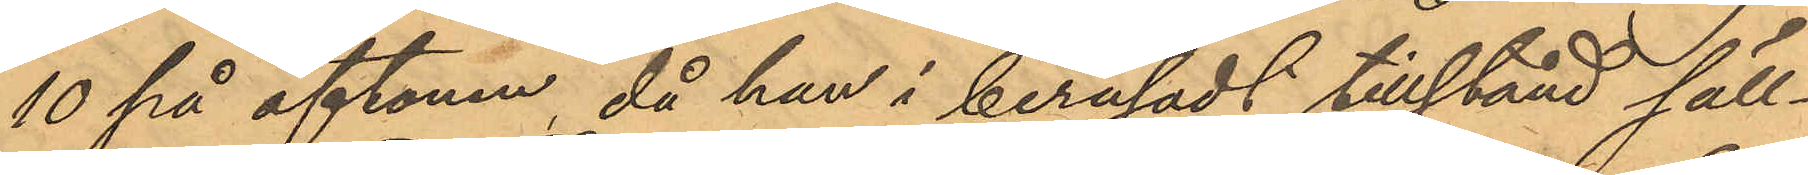10 på aftonen, då han i berusadt tillstånd säll¬
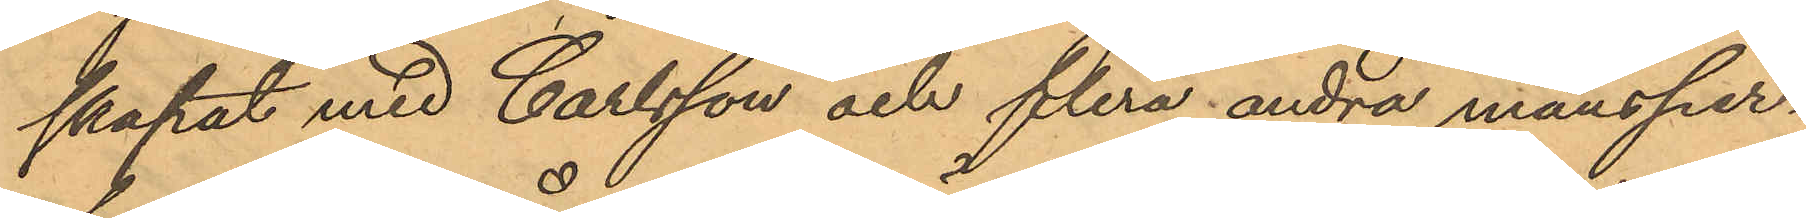skapat med Carlsson och flera andra mansper¬
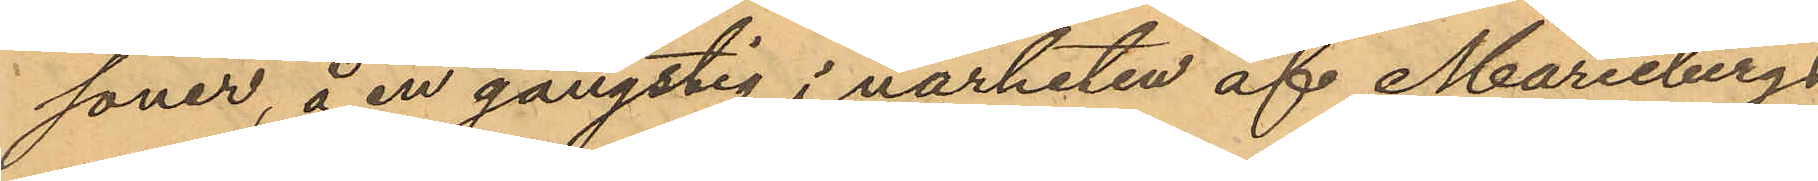soner, å en gångstig i närheten af Mariebergs
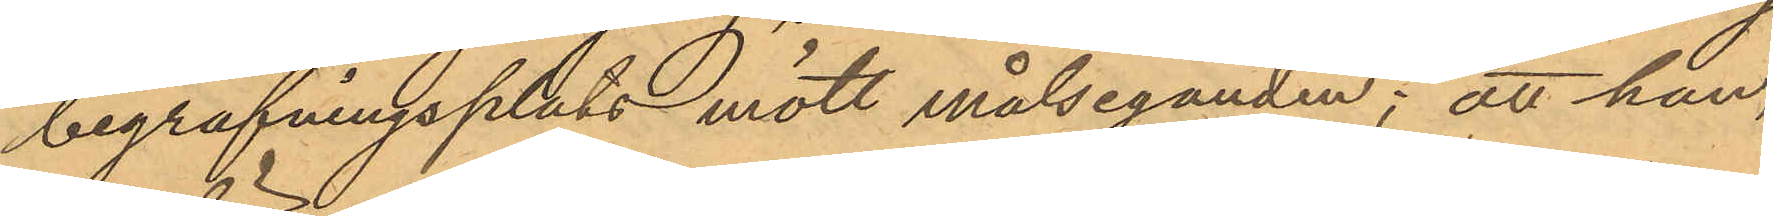begrafningsplats mött målseganden; att han,
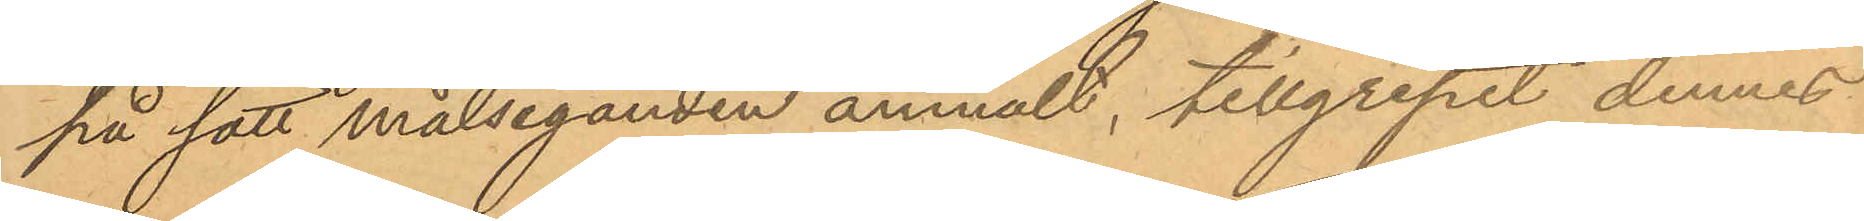på sätt målseganden anmält, tillgripit dennes
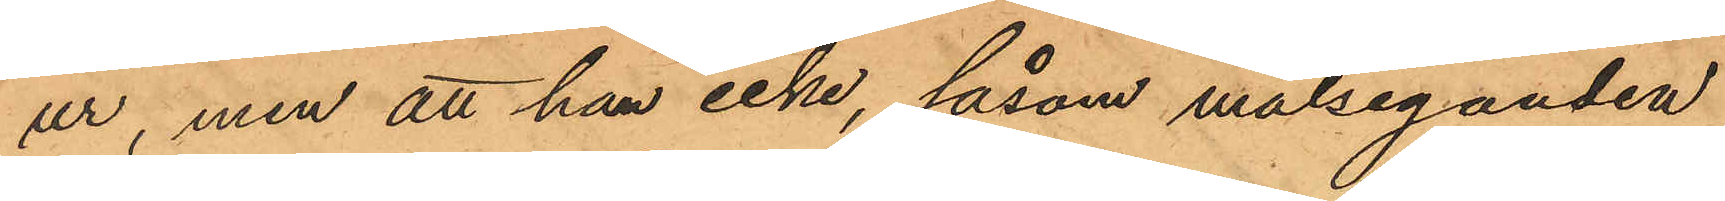ur, men att han icke, såsom målseganden
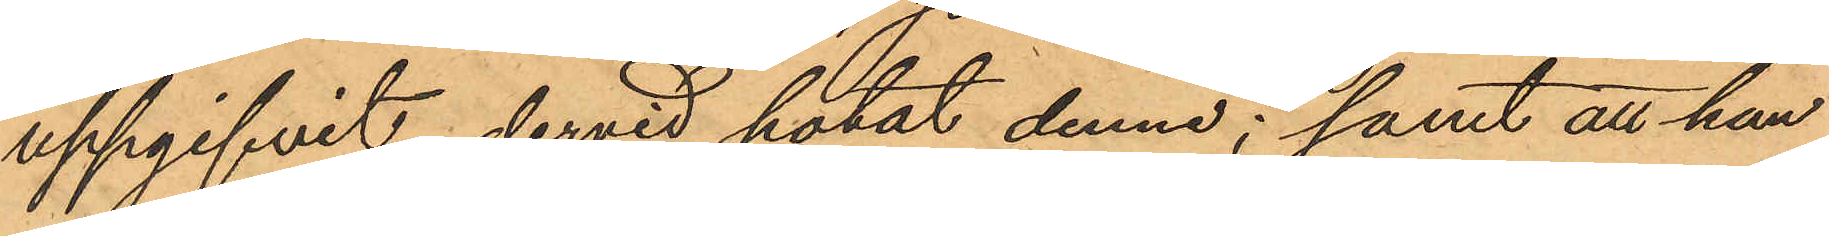uppgifvit dervid hotat denne; samt att han
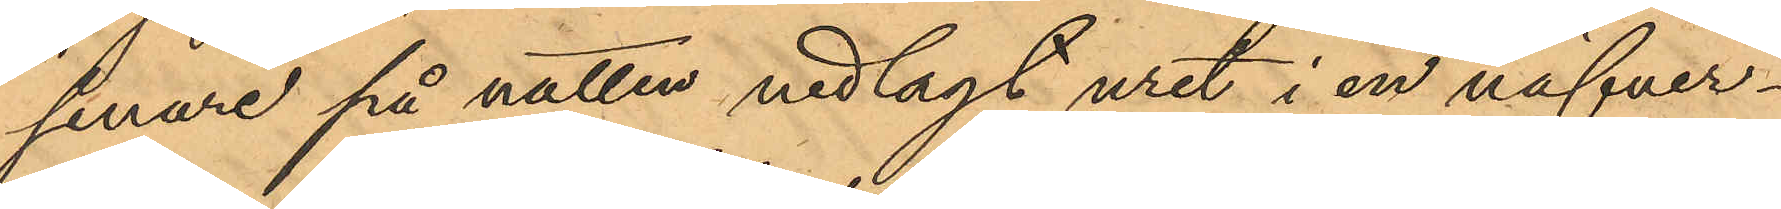senare på natten nedlagt uret i en näfver¬
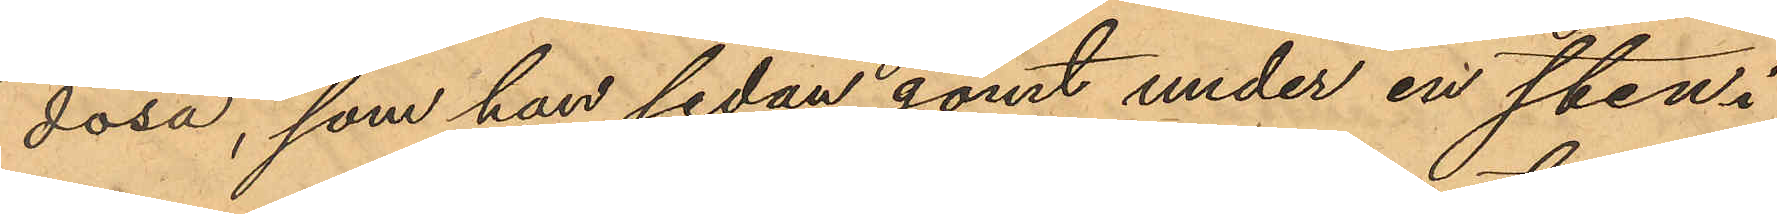dosa, som han sedan gömt under en sten i
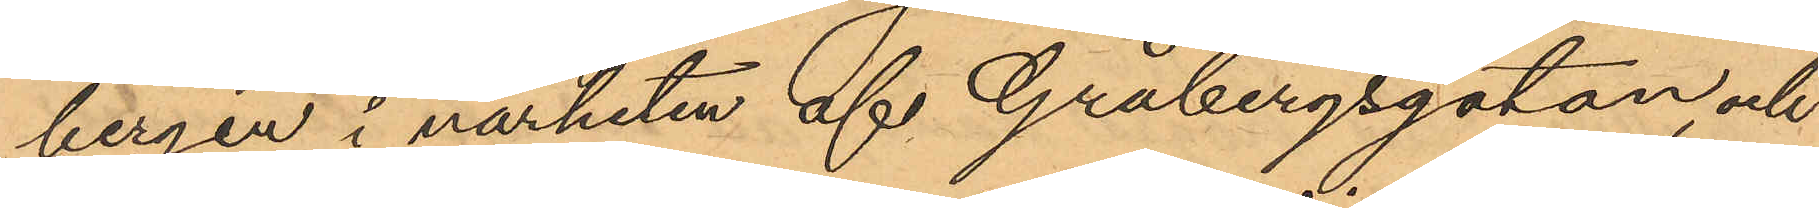bergen i närheten af Gråbergsgatan, och
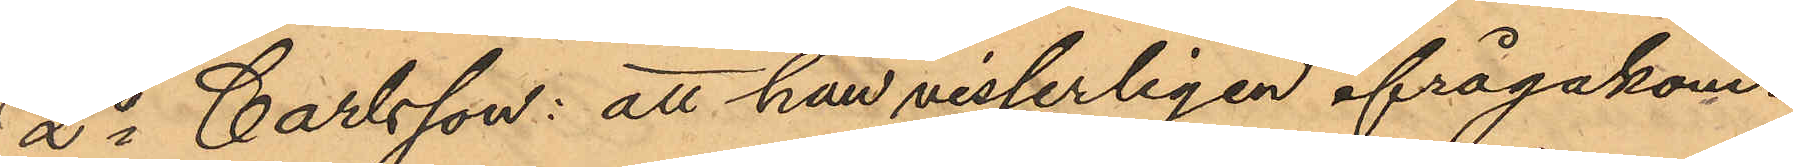2o Carlsson: att han visserligen ifrågakom¬
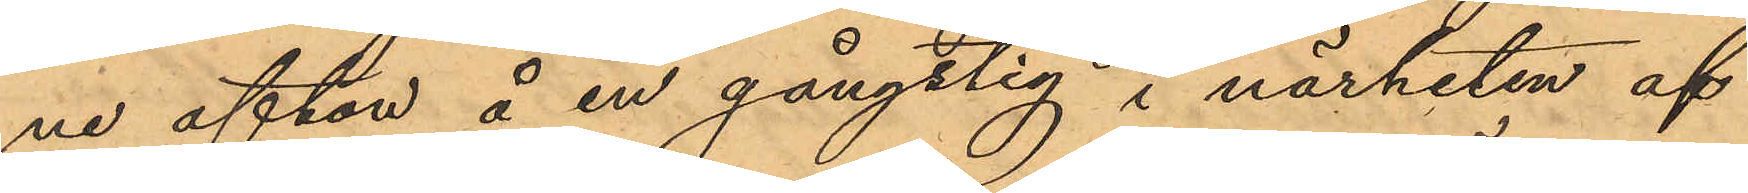ne afton å en gångstig i närheten af
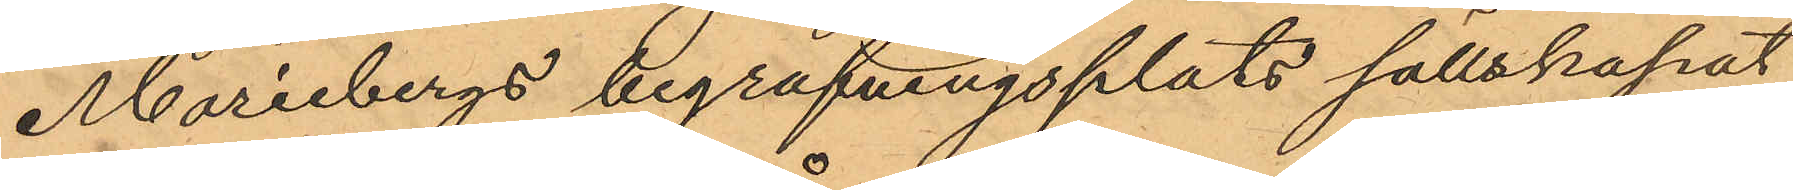Mariebergs begrafningsplats sällskapat
